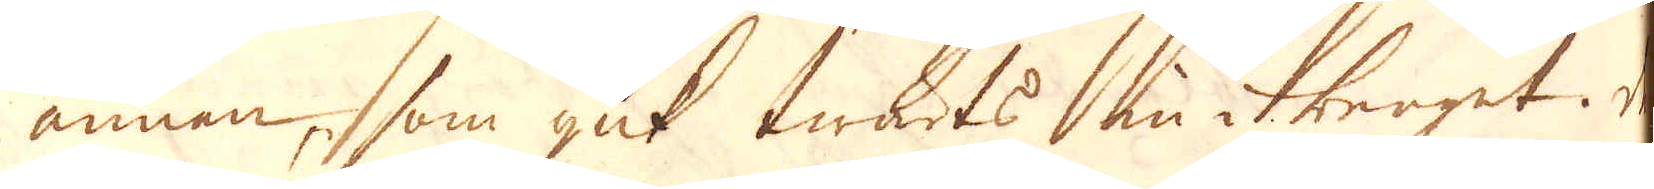annan, som gick twärts in i berget. De
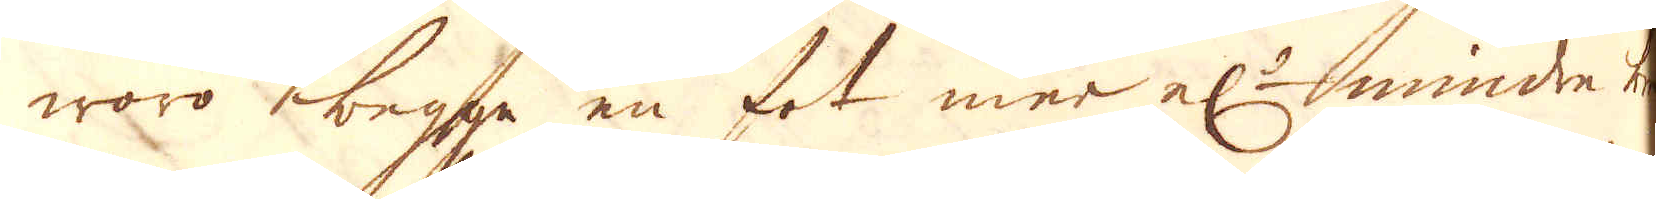woro begga en fot mer el:r mindre bre-
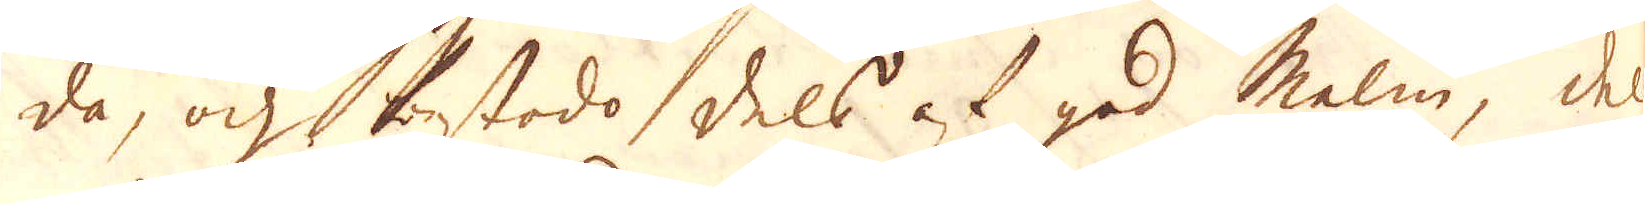da, och bestodo dels af god Malm, dels
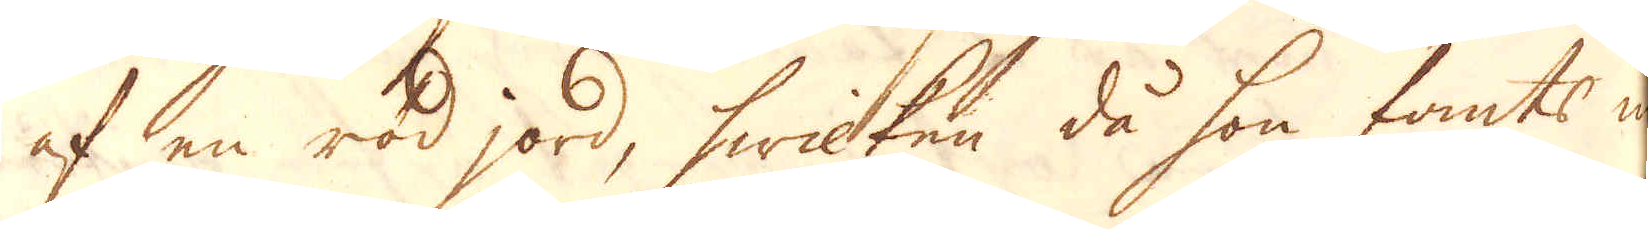af en röd jord, hwilken då hon fants ihop-
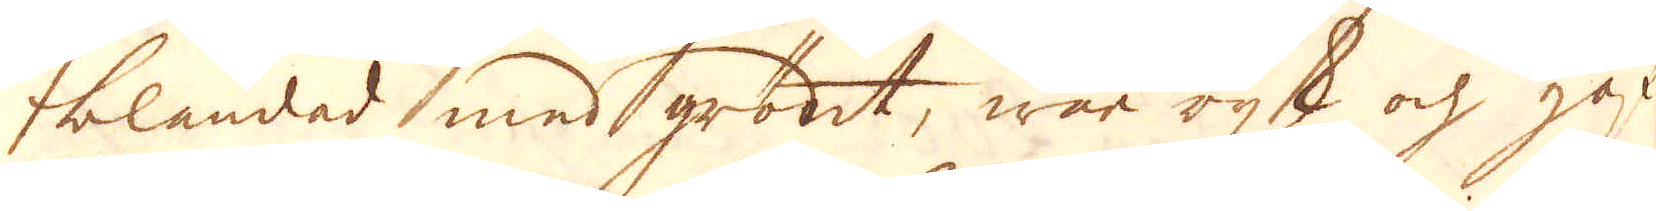blandad med grönt, war rijk och gaf
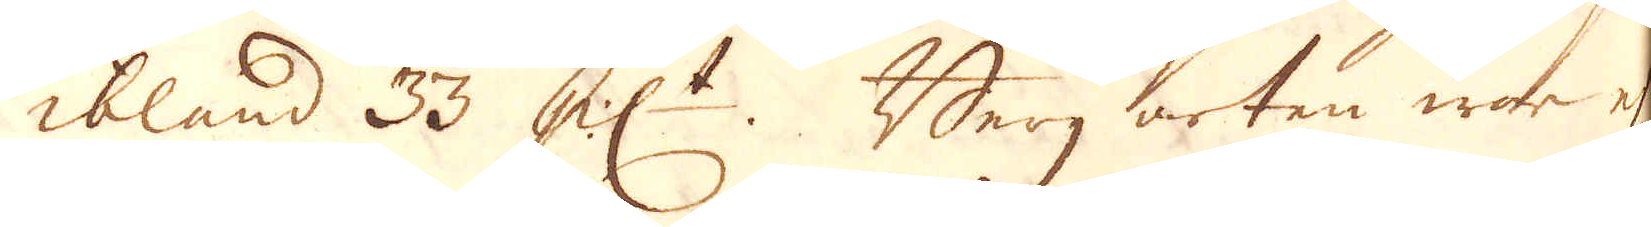ibland 33 pc:t. Berg arten war ej
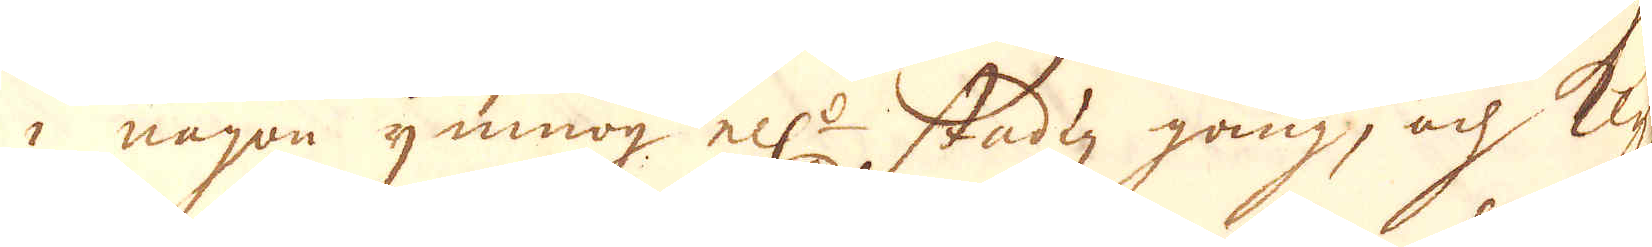i någon ymnog ell:r stadig gång, och Klyf-
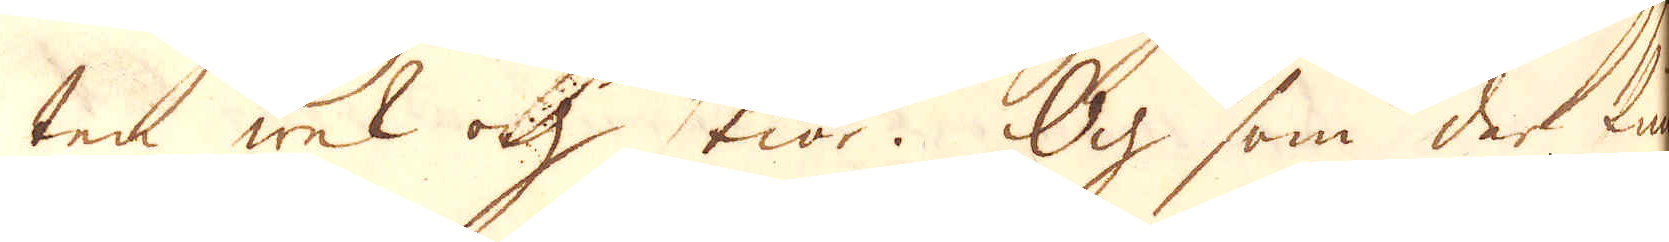ten wek och skiör. Och som der fun-
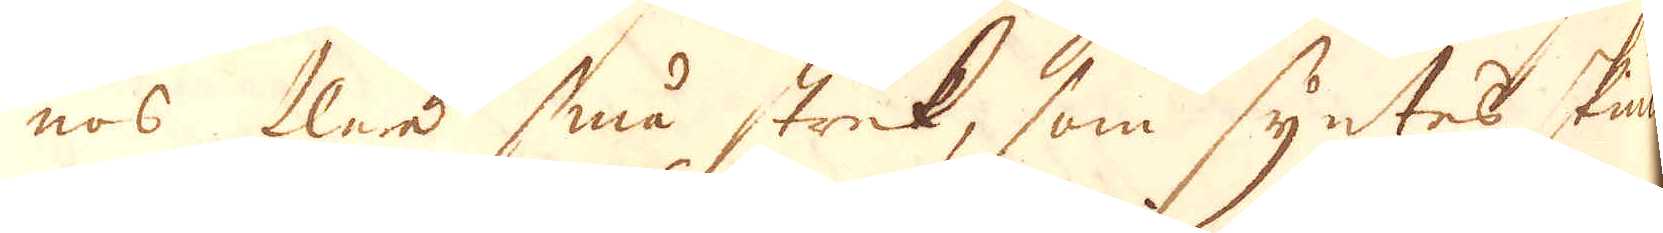nos flere små strek, som syntes skiuta
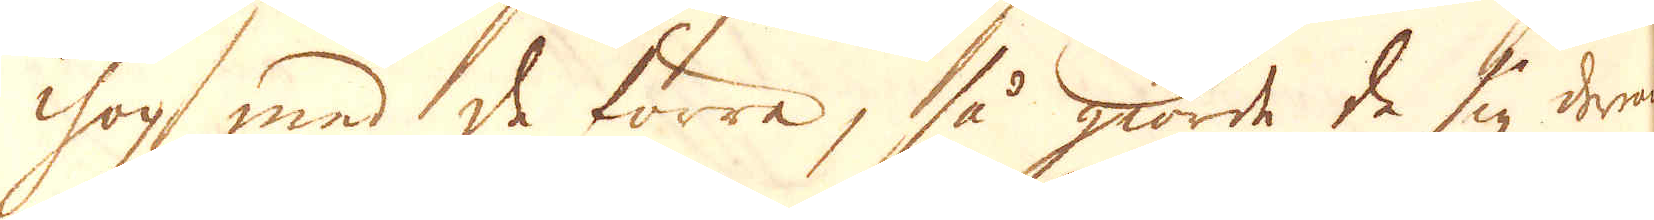ihop med de förra, så giorde de sig derom
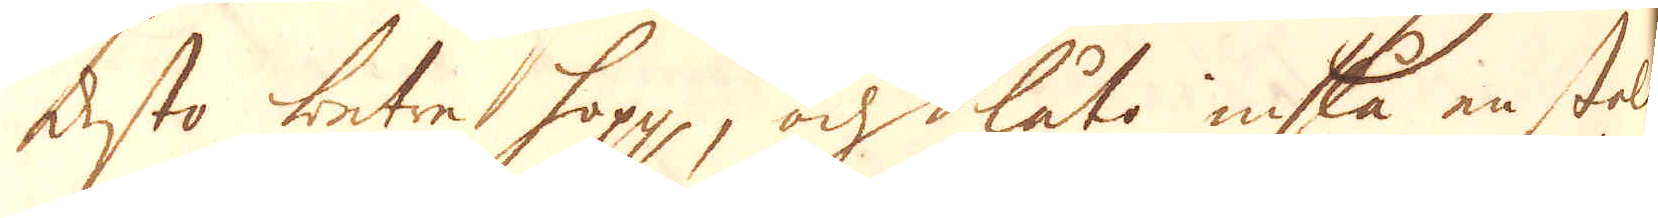desto betret hopp, och låta inslå en stoll
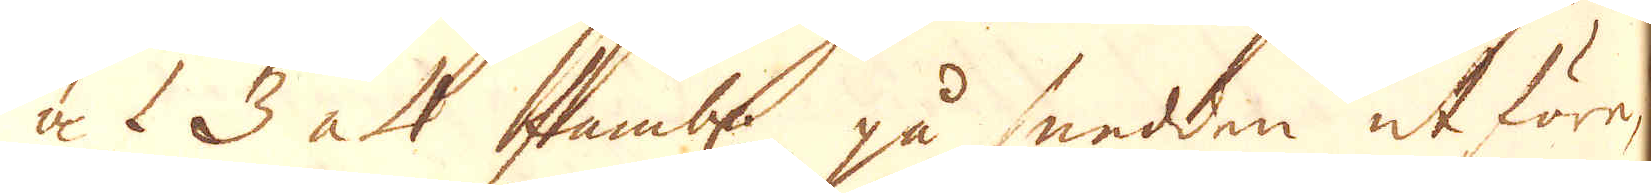af 3 a 4 at famb: på snedden ut före,
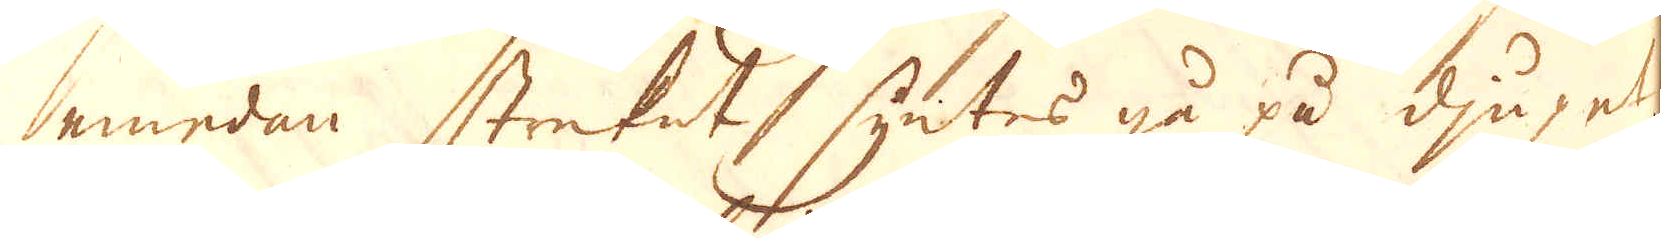emedan streket, syntes gå på djupet,
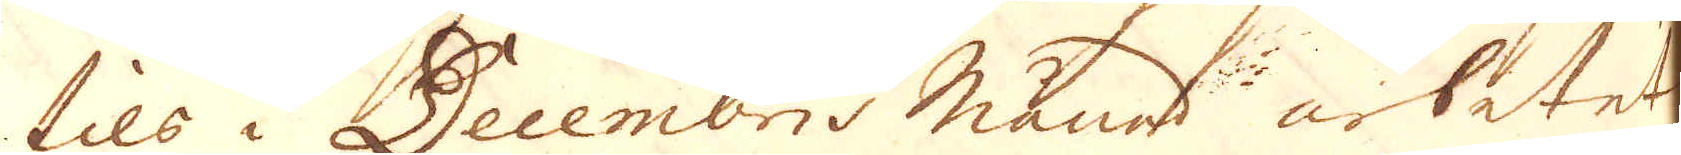tils i Decembris månad arbetet
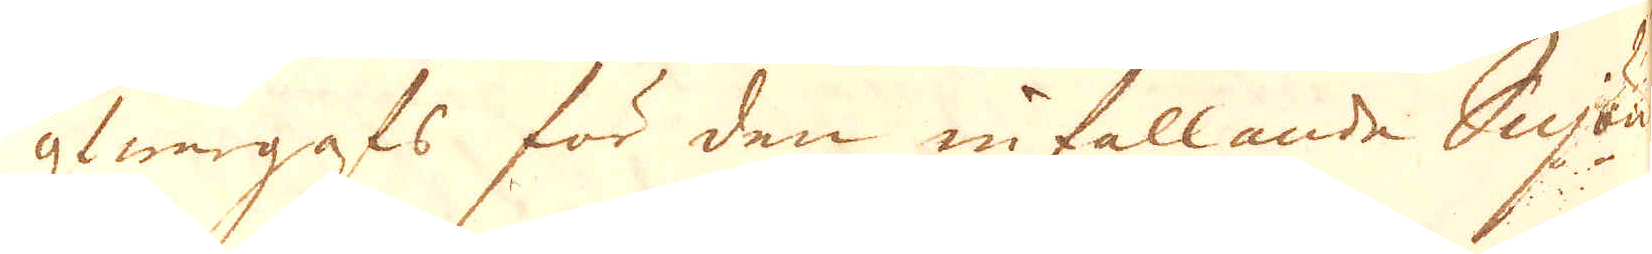öfwergrafs för den infallande Snjön
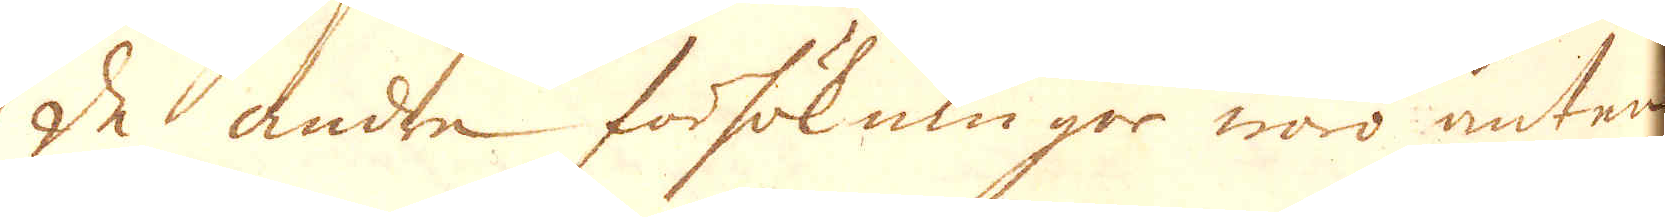de andre försökningor woro anten
